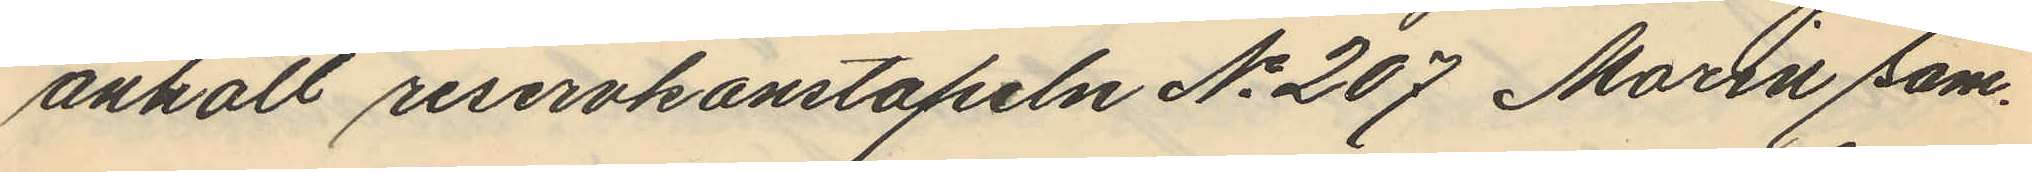anhöll reservkonstapeln No 207 Marin sam¬
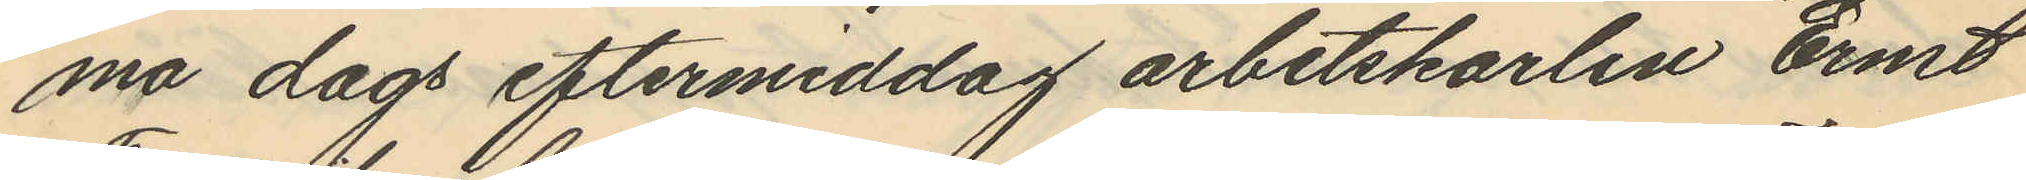ma dags eftermiddag arbetskarlen Ernst
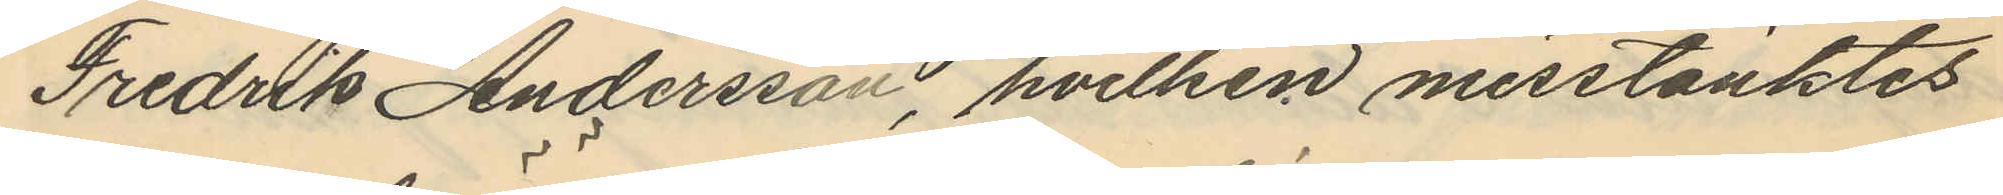Fredrik Andersson, hvilken misstänktes
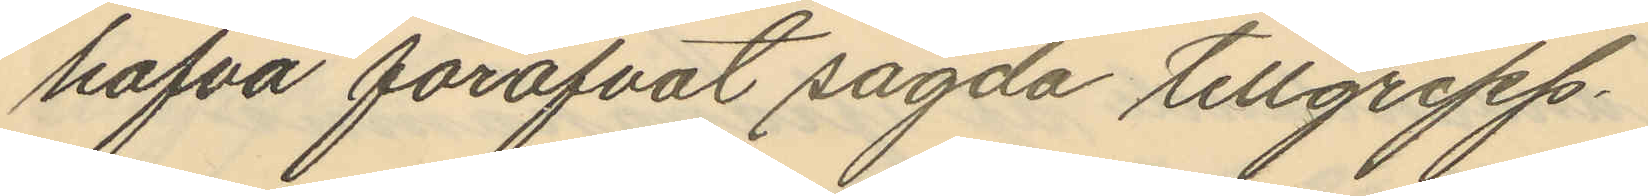hafva föröfvat sagda tillgrepp.
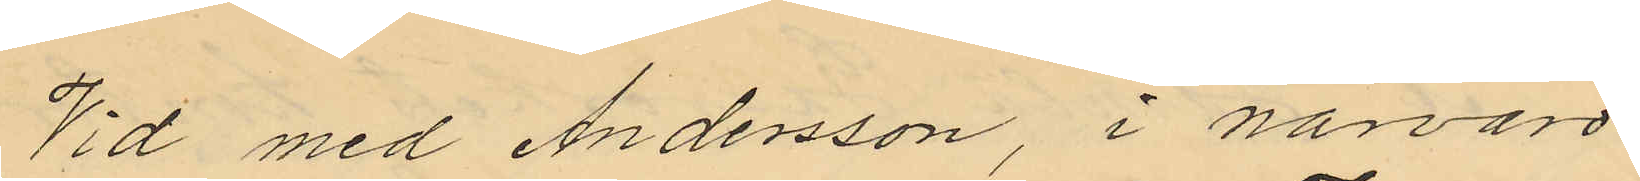Vid med Andersson, i närvaro
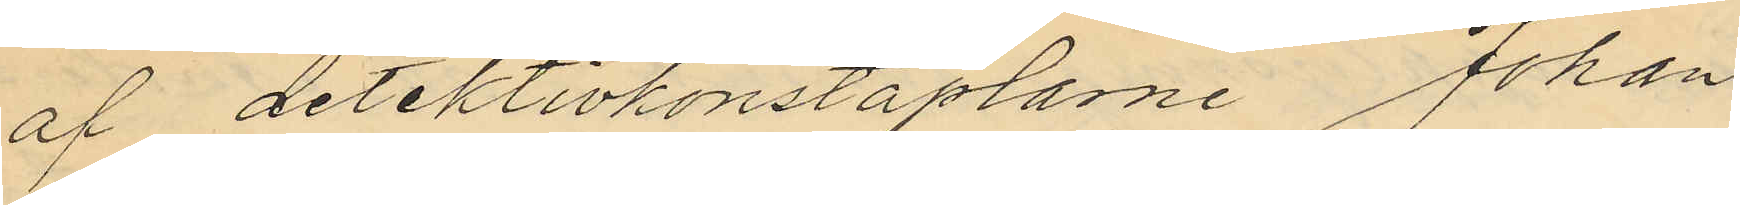af detektivkonstaplarne Johan
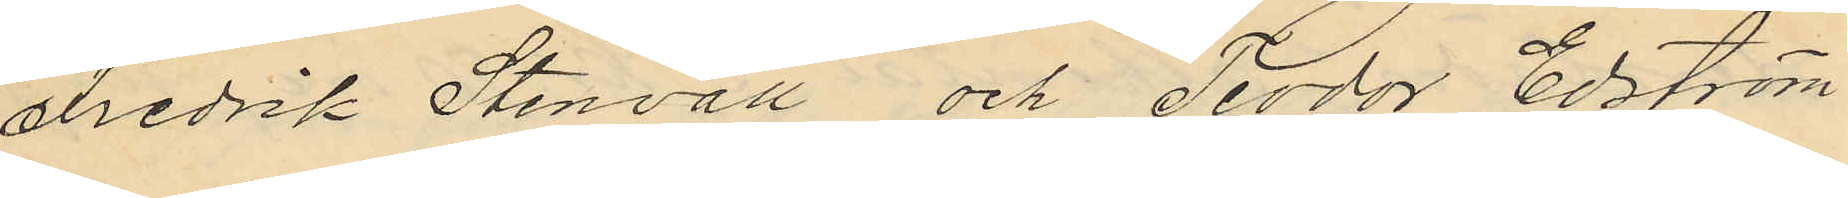Fredrik Stenvall och Teodor Edström
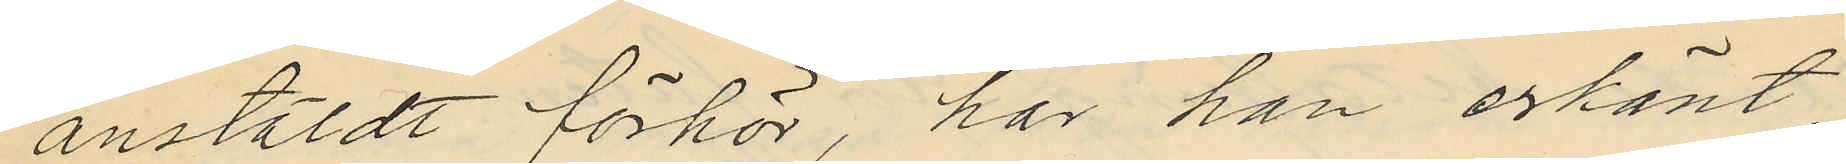anstäldt förhör, har han erkänt
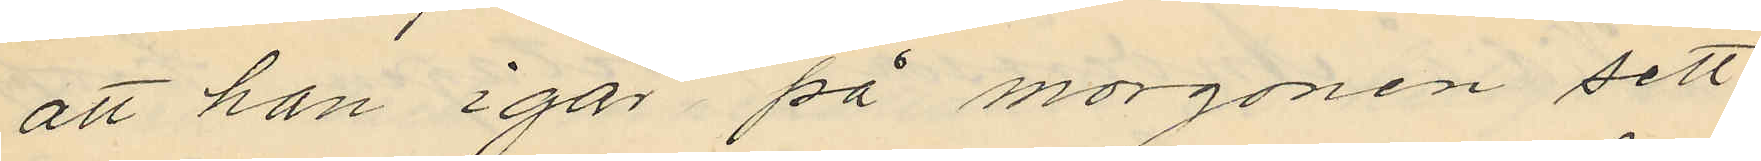att han igår på morgonen sett
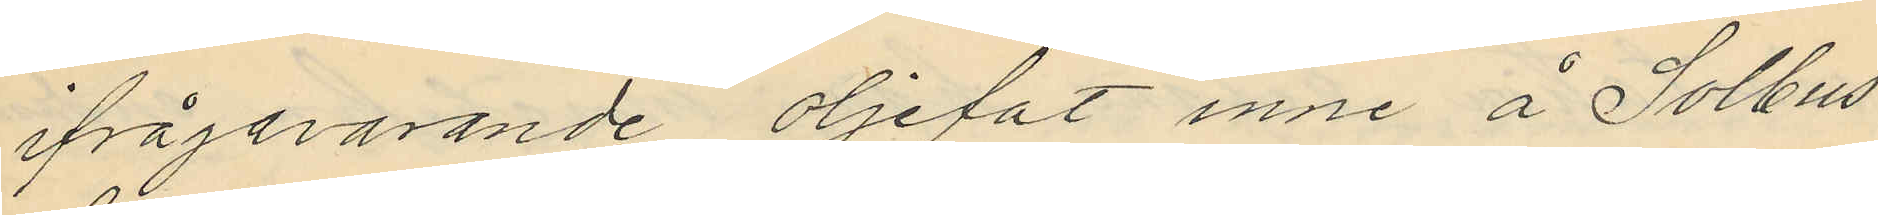ifrågararande oljefat inne å Solbus
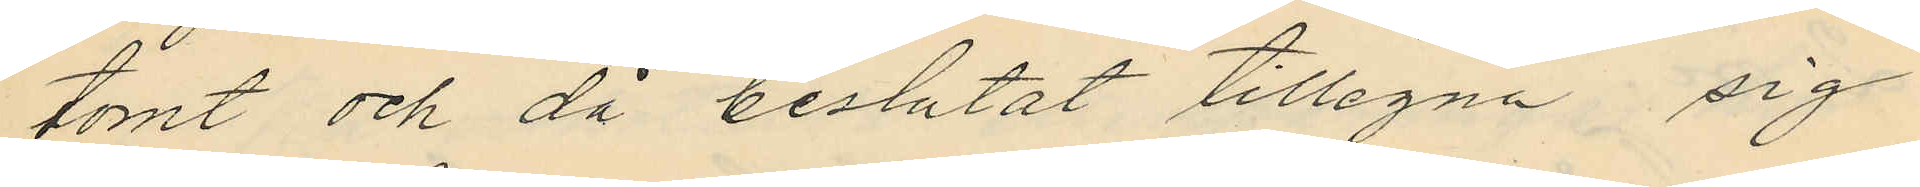tomt och då beslutat tillegna sig
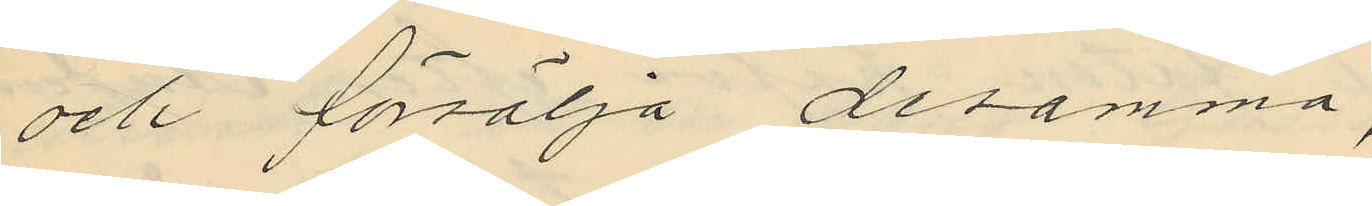och försälja desamma,
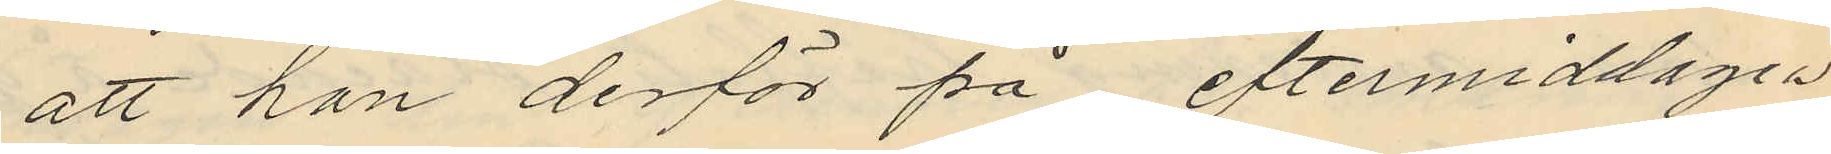att han derför på eftermiddagen
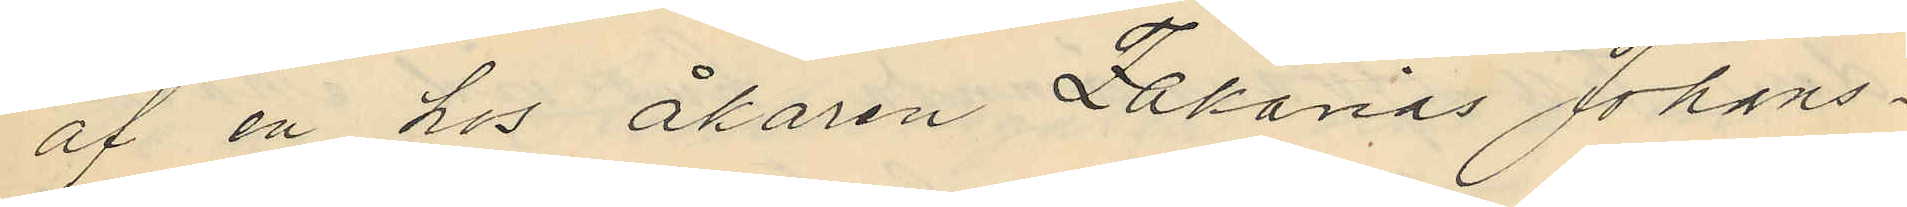af en hos åkaren Zakarias Johans¬
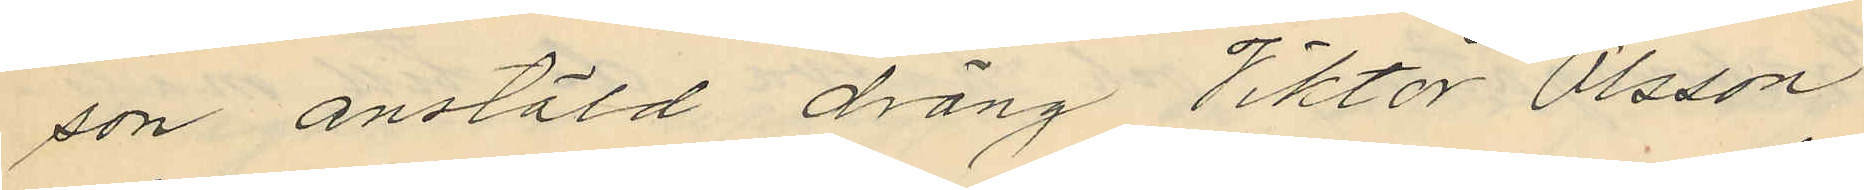son anstäld dräng Viktor Olsson
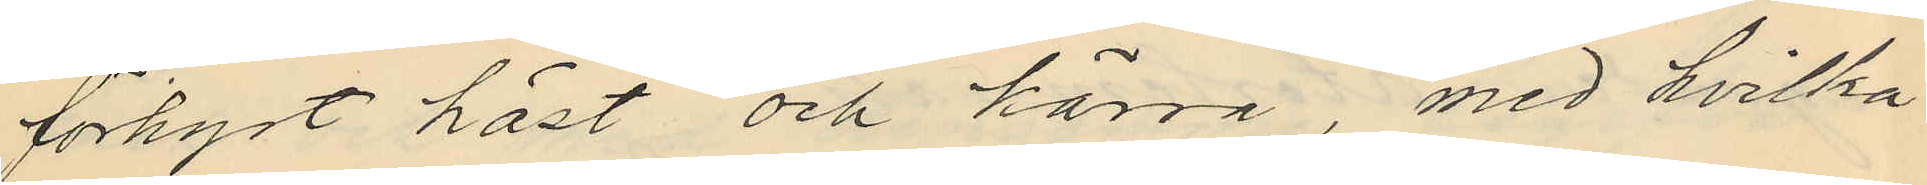förhyrt häst och kärra, med hvilka
